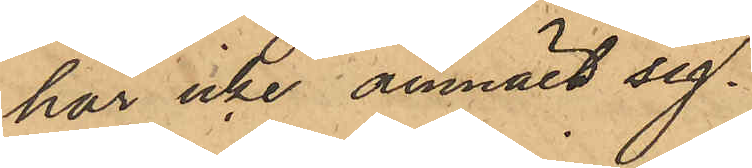har icke anmält sig.
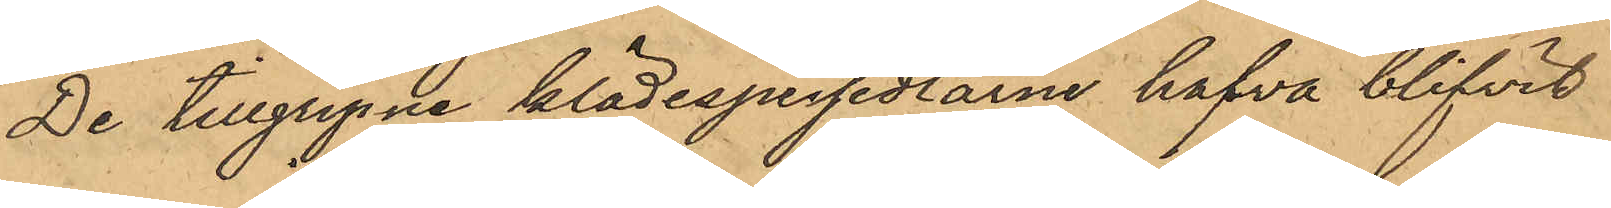De tillgripne klädespersedlarne hafva blifvit
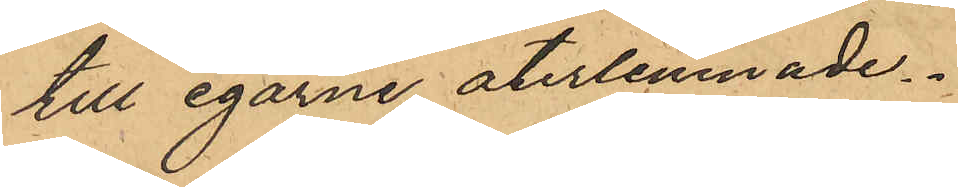till egarne återlemnade.
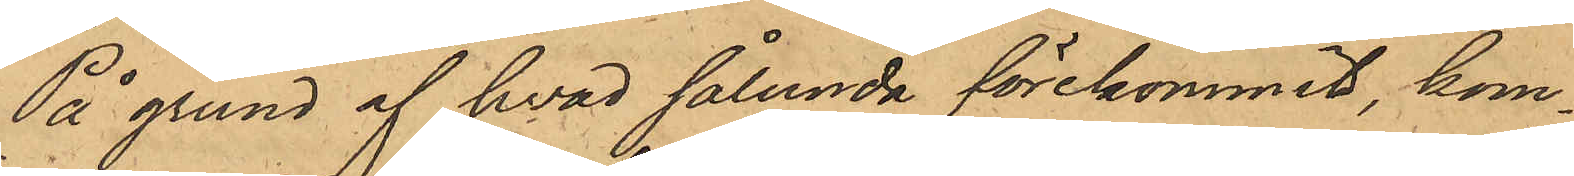På grund af hvad sålunda förekommit, kom¬
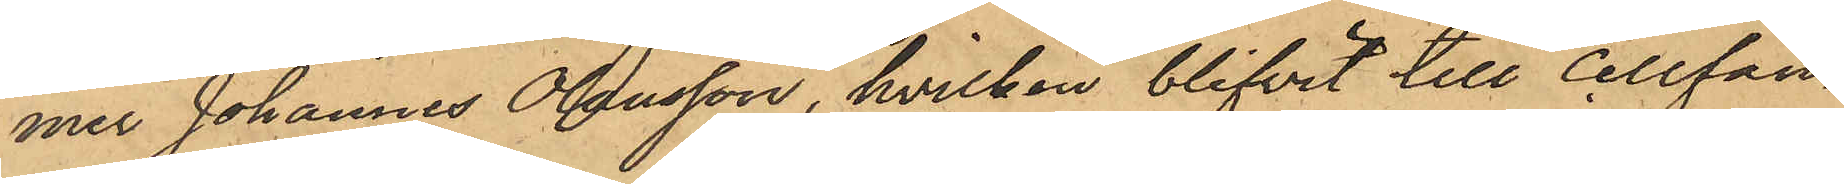mer Johannes Olausson, hvilken blifvit till Cellfän¬
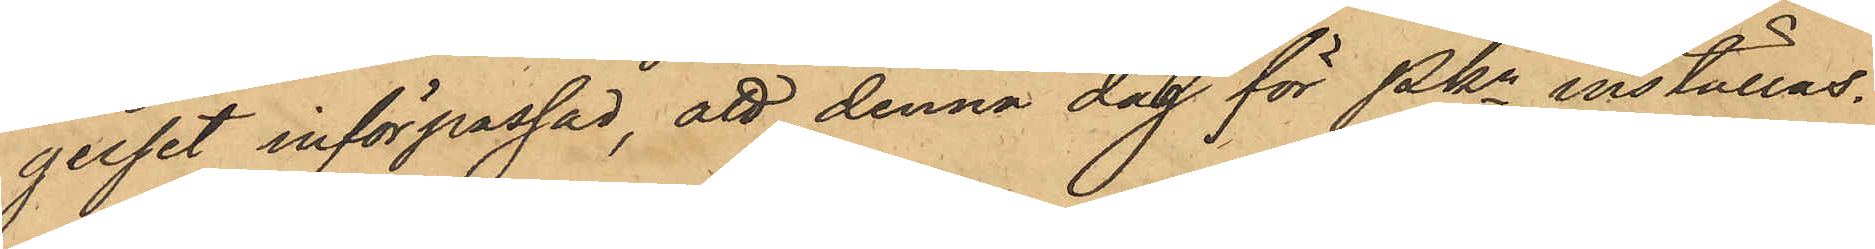gelset införpassad, att denna dag för Pkn inställas.
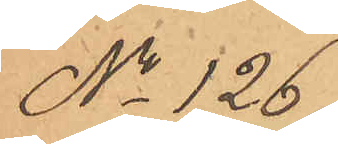No 126
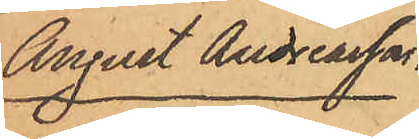August Andreasson.
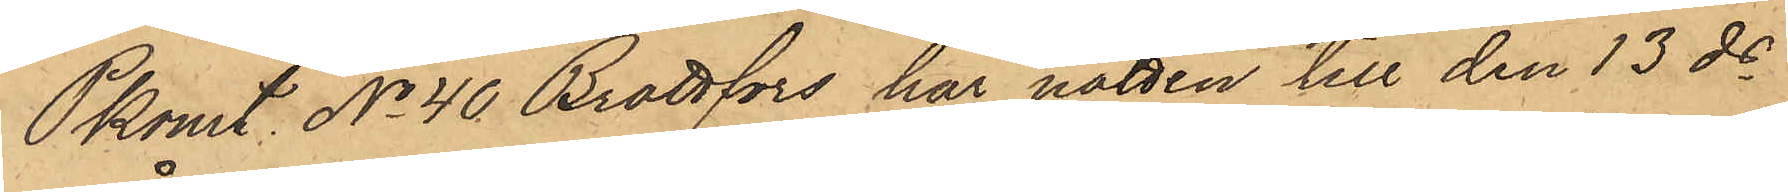Pkonst. No 40 Brattfors har natten till den 13 ds
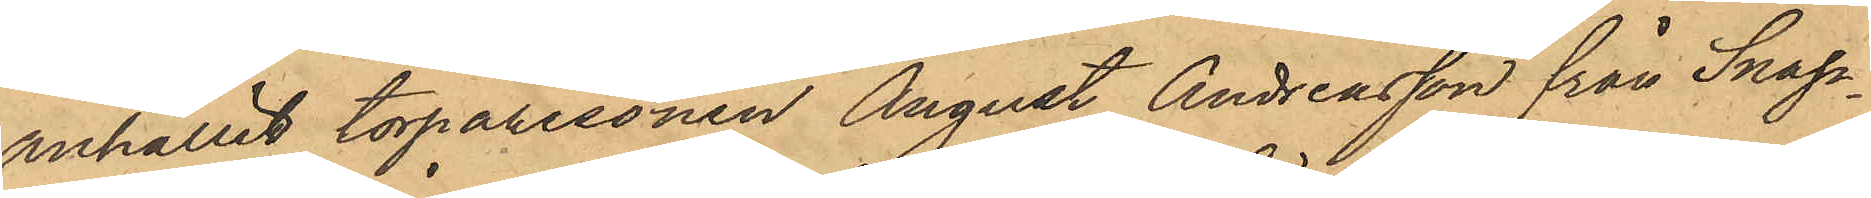anhållit torparesonen August Andreasson från Snap¬
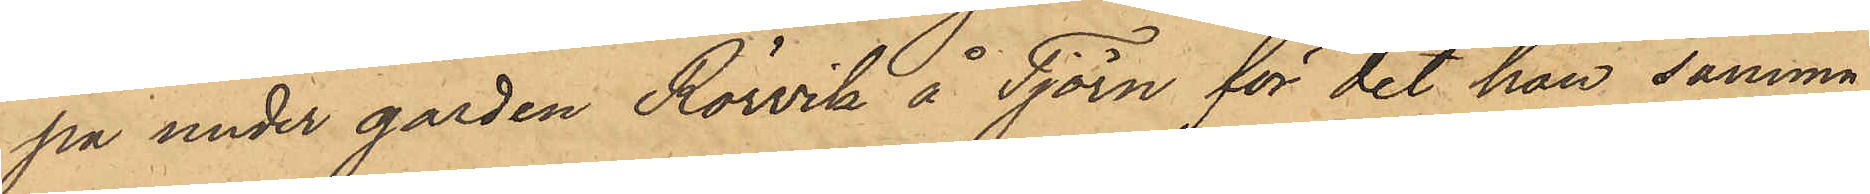pa under gården Rörvik å Tjörn för det han samma
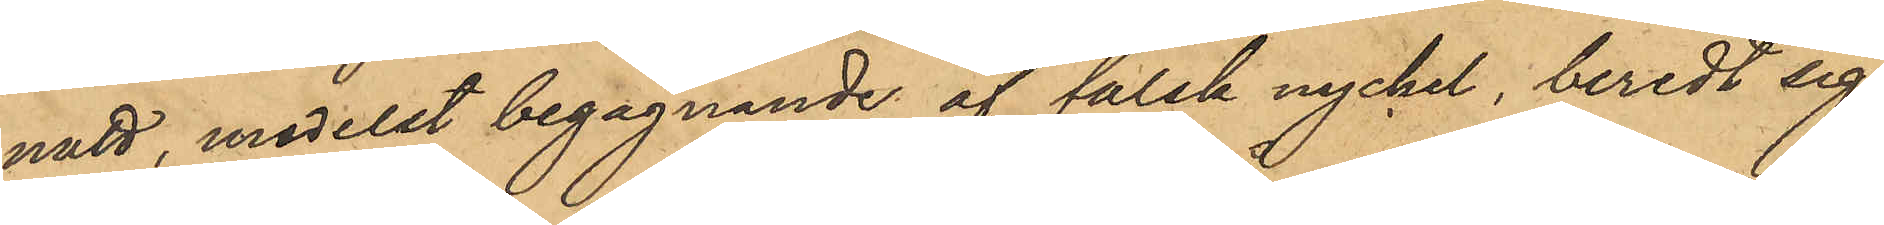natt, medelst begagnande af falsk nyckel, beredt sig
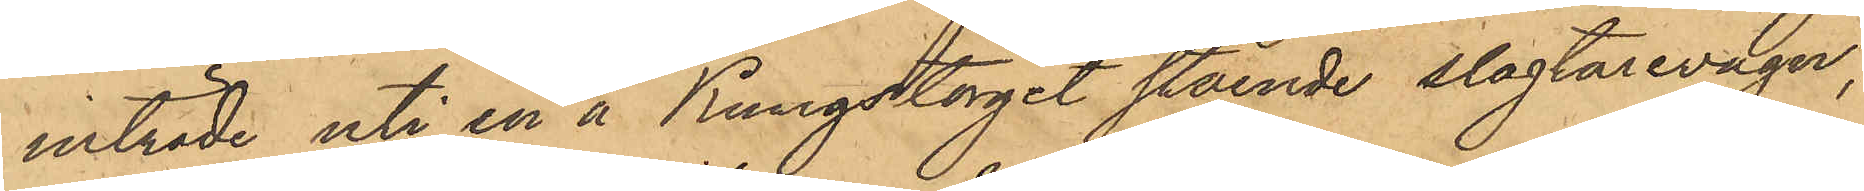inträde uti en å Kungstorget stående slagtarevagn,
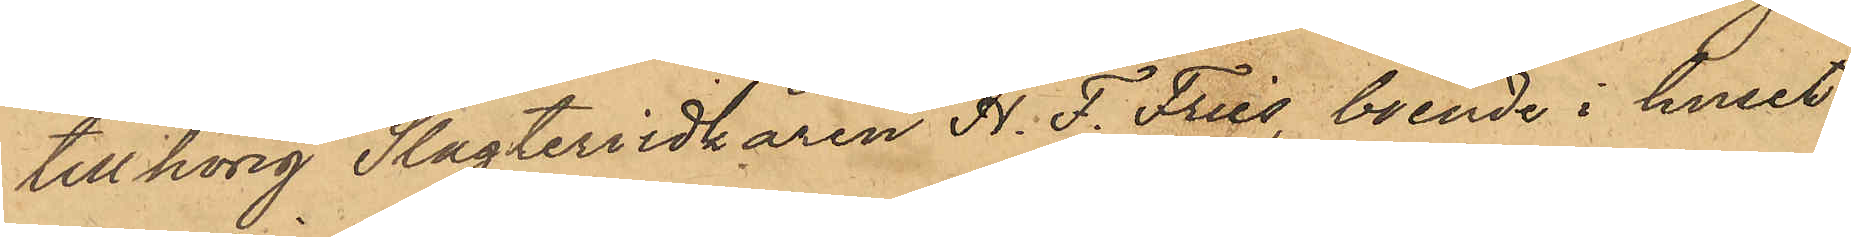tillhörig Slagteriidkaren H. F. Fries, boende i huset
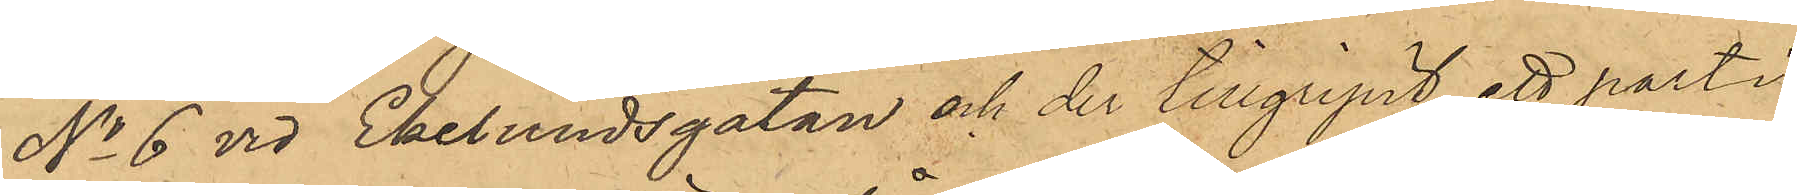No 6 vid Ekelundsgatan och der tillgripit ett parti
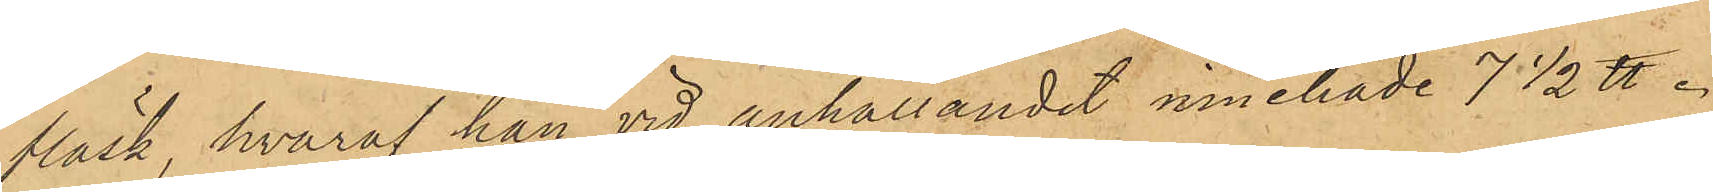fläsk, hvaraf han vid anhållandet innehade 7 1/2 ℔.
